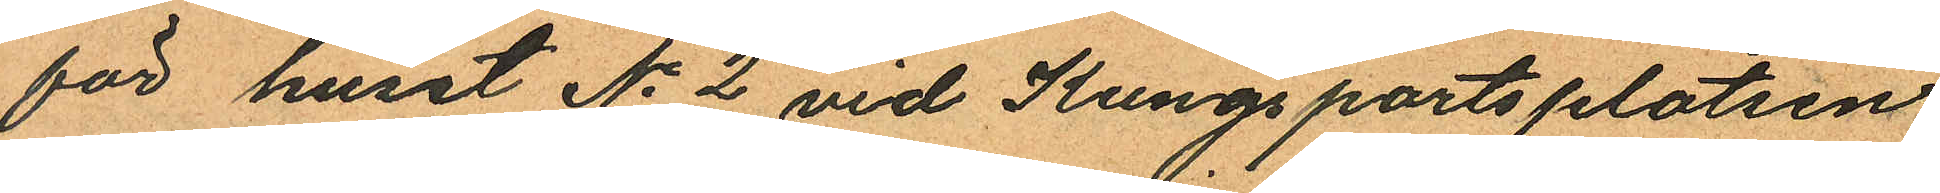för huset No 2 vid Kungsportsplatsen
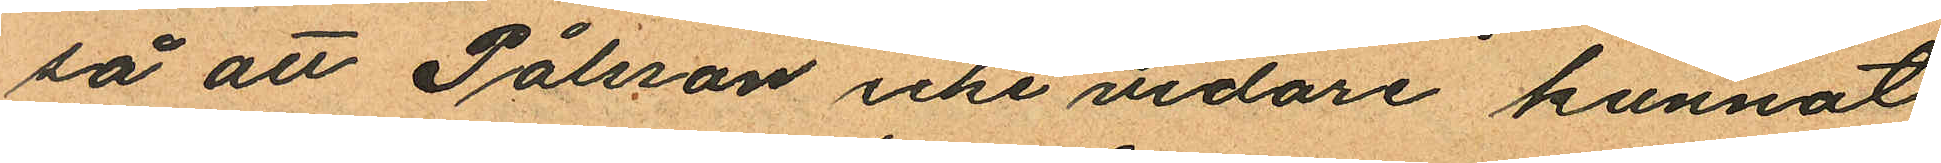så att Pålsson icke vidare kunnat
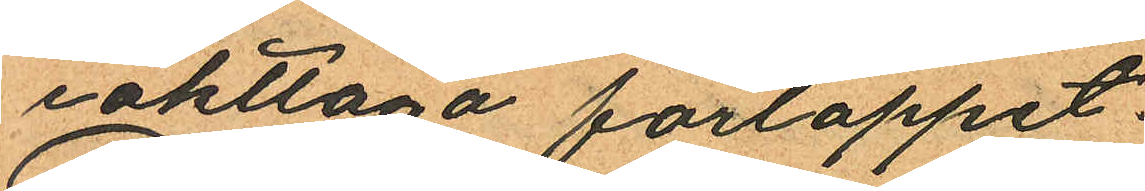iakttaga förloppet.
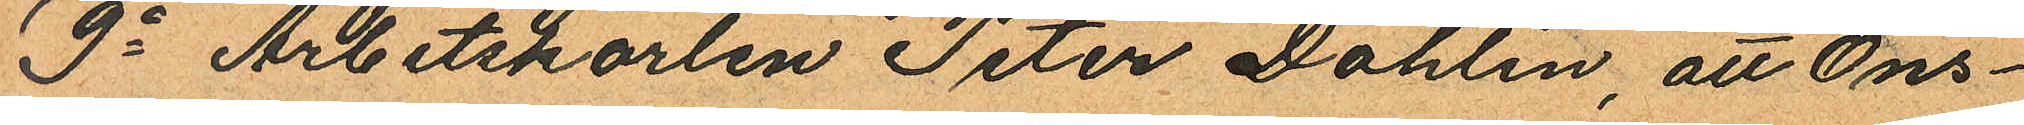9o Arbetskarlen Peter Dahlin, att Ons¬
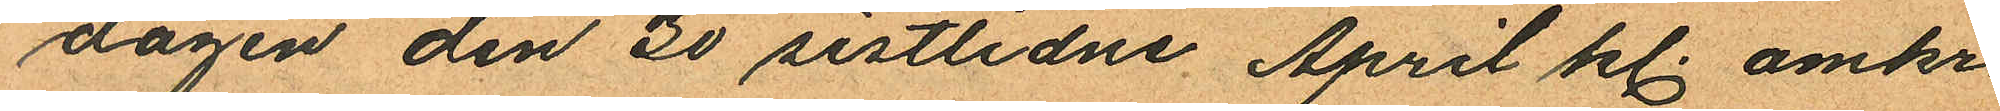dagen den 30 sistlidne April kl. omkr.
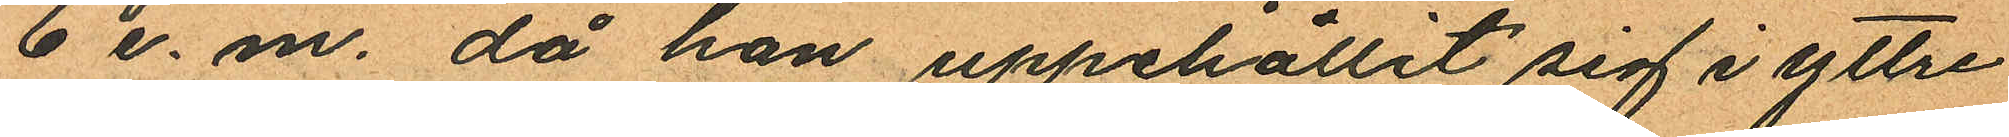6 e. m. då han uppehållit sig i yttre
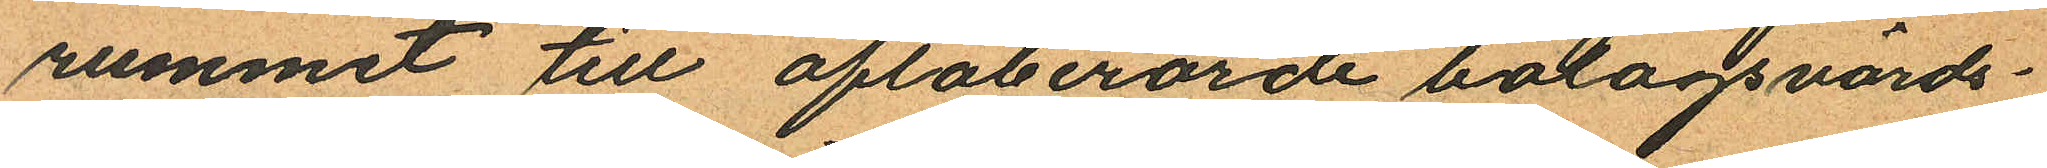rummet till oftaberörde bolagsvärds¬
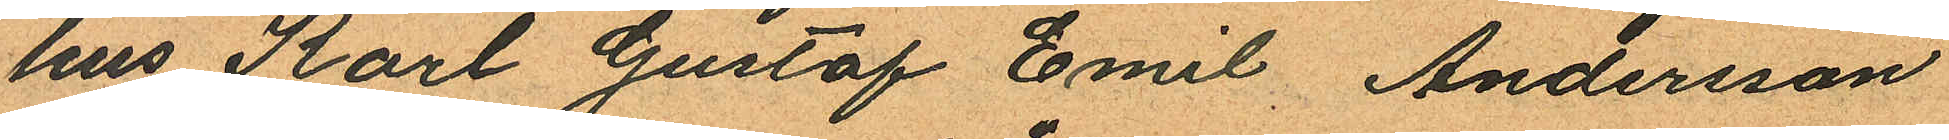hus Karl Gustaf Emil Andersson
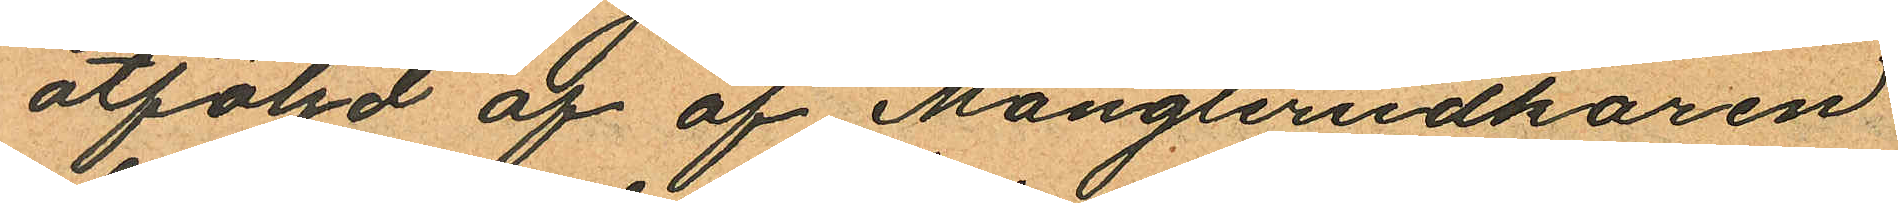åtföljd af af Mångleriidkaren
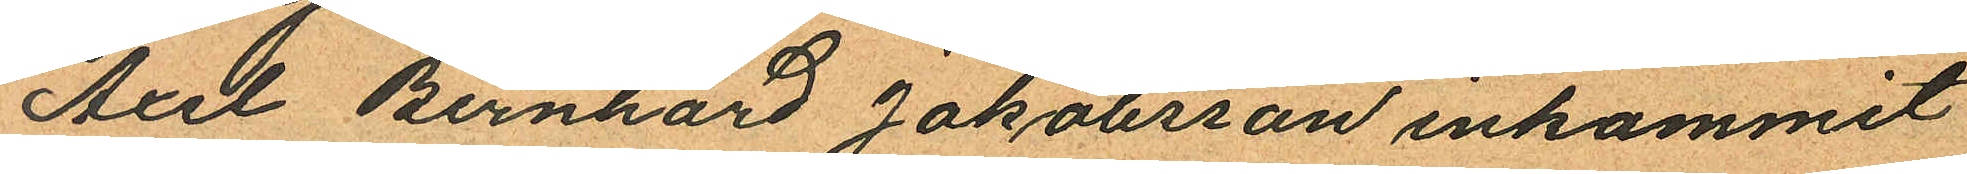Axel Bernhard Jakobsson inkommit
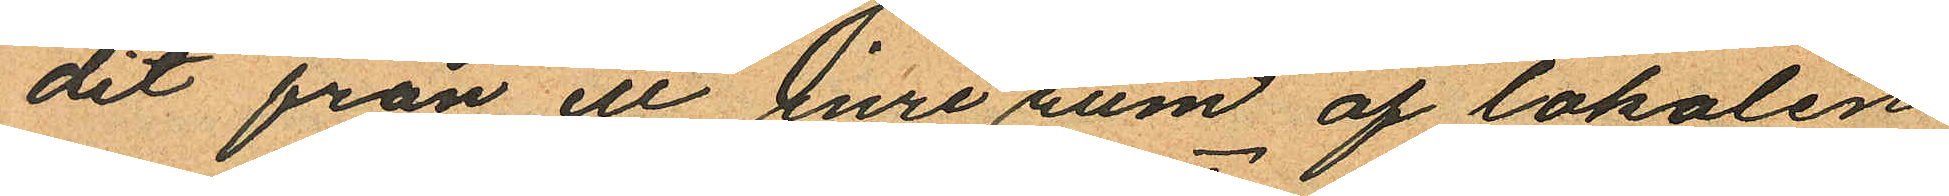dit från ett inre rum af lokalen
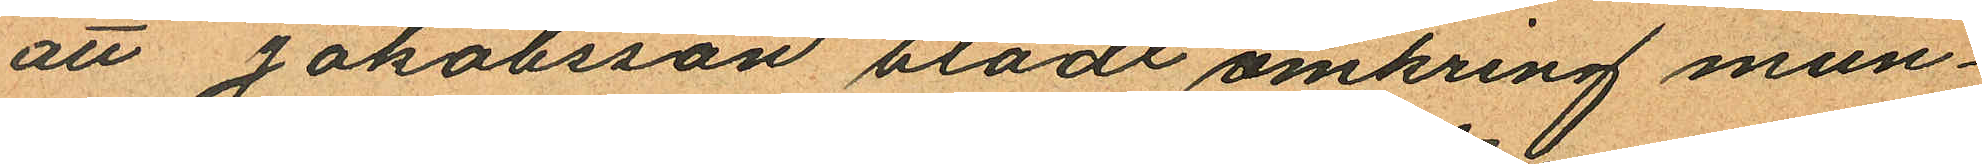att Jakobsson blödt omkring mun¬
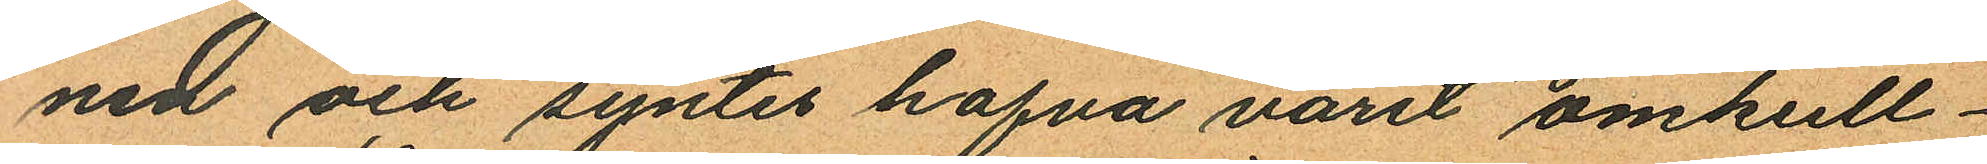nen och syntes hafva varit omkull¬
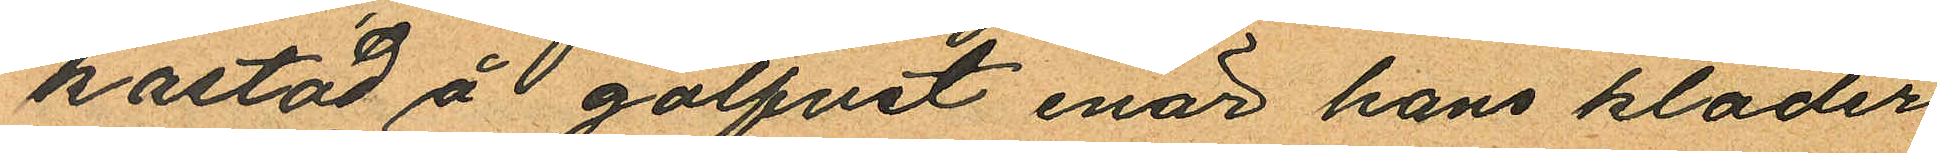kastad å  golfvet enär hans kläder
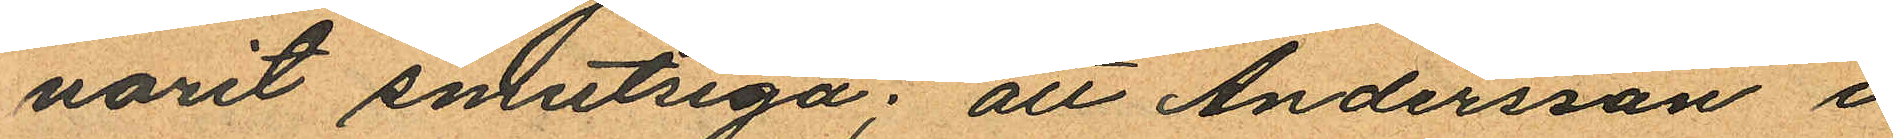varit smutsiga; att Andersson i
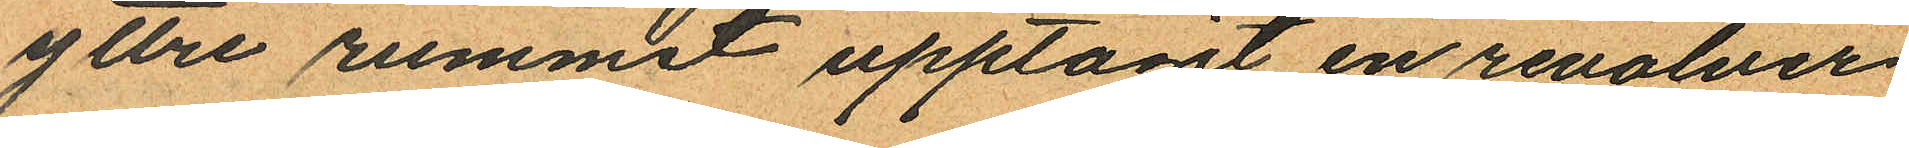yttre rummet upptagit en revolver
